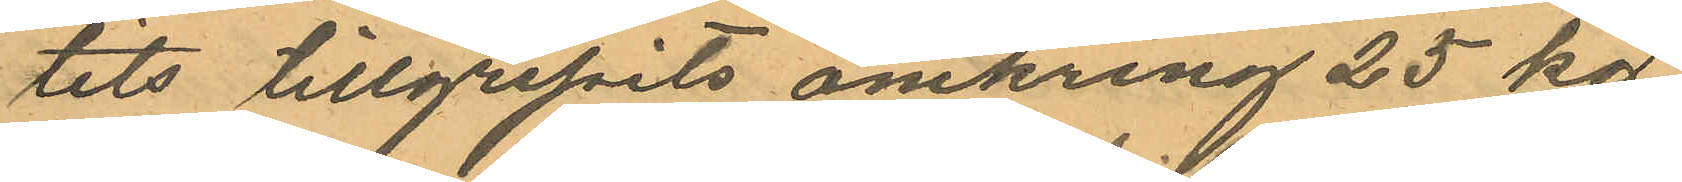tits tillgripits omkring 25 kg
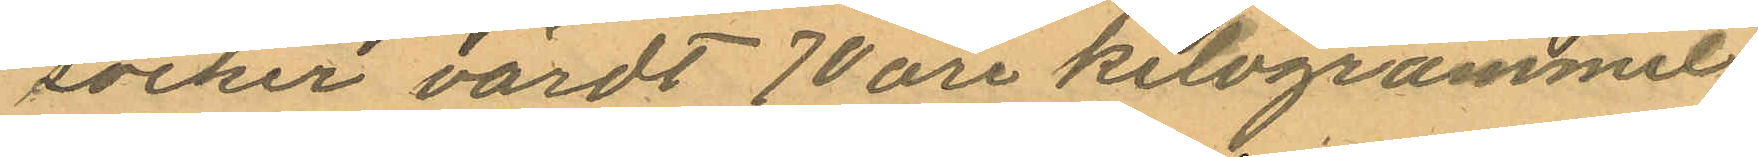socker värdt 70 öre kilogrammet
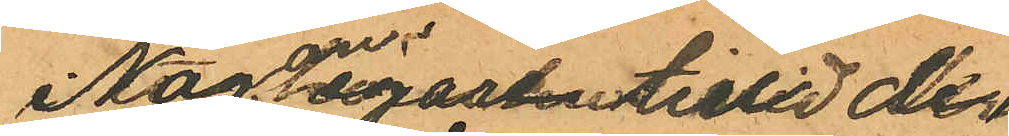Någon egare till de
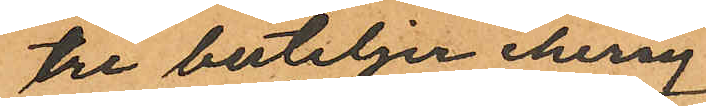tre buteljer cherry
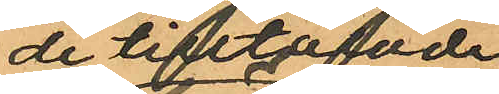de tilltalade
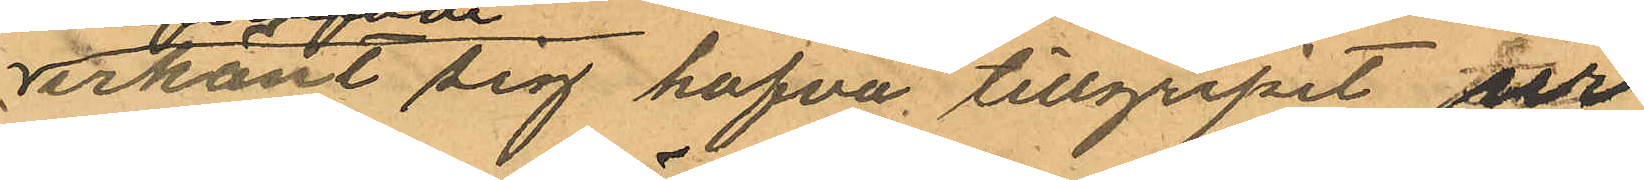erkänt sig hafva tillgripit ur
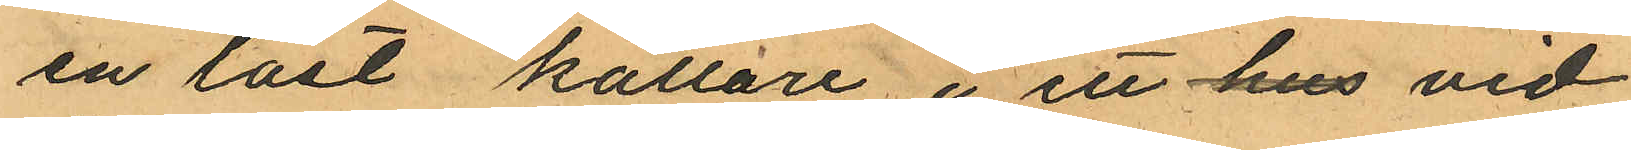en låst källare i ett hus vid
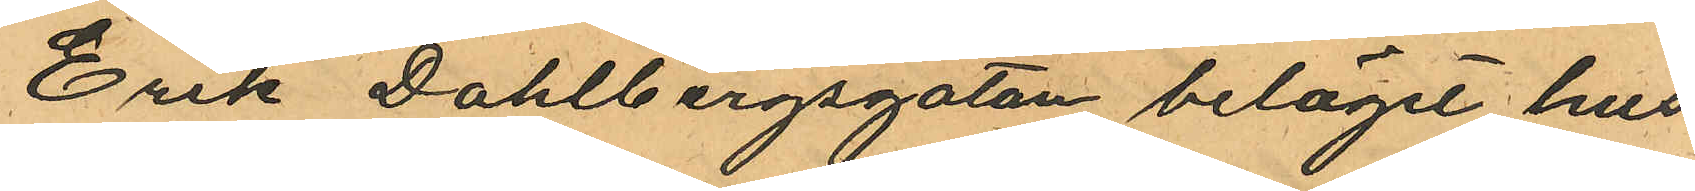Erik Dahlbergsgatan beläget hus
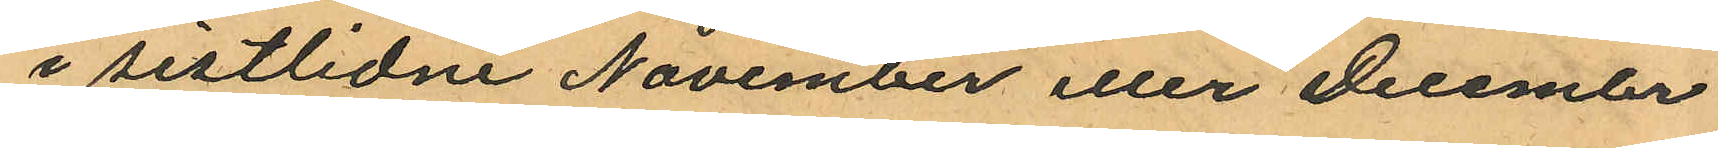i sistlidne November eller December
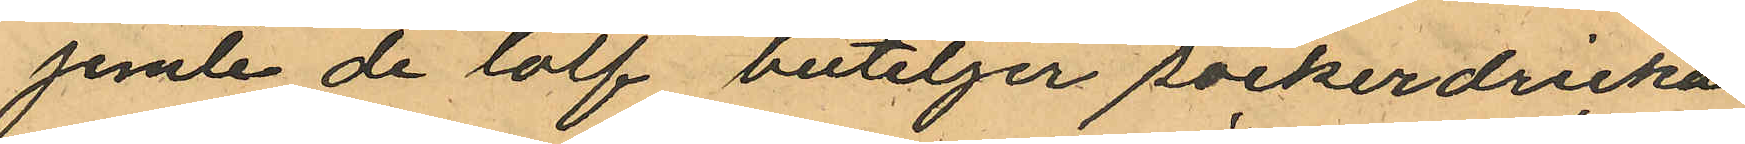jemte de lolf buteljer sockerdricka
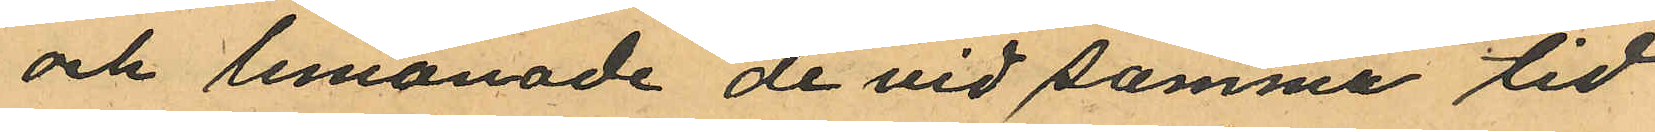och lemonade de vid samme tid
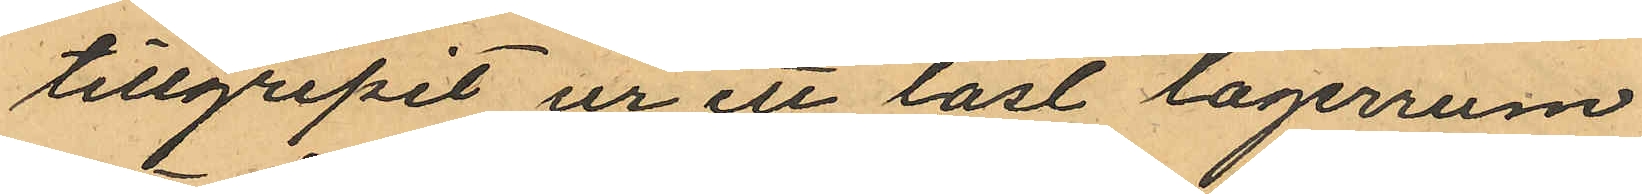tillgripit ur ett låst lagerrum
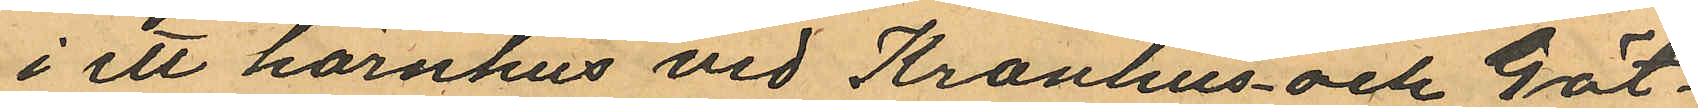i ett hörnhus vid Kronhus- och Göt¬
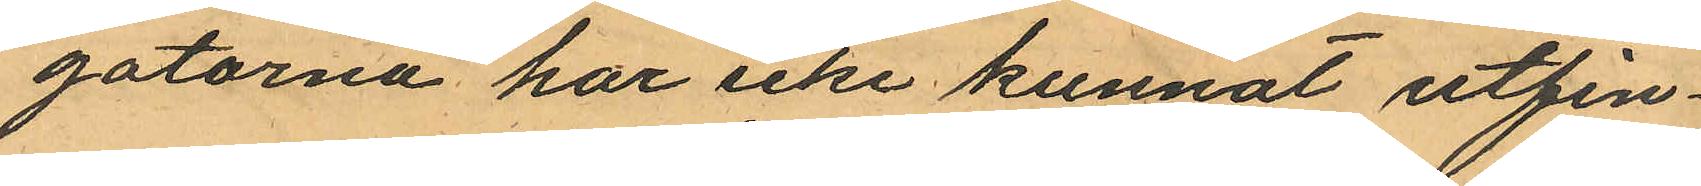gatorna har icke kunnat utfin¬
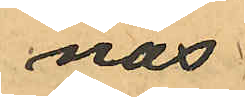nas.
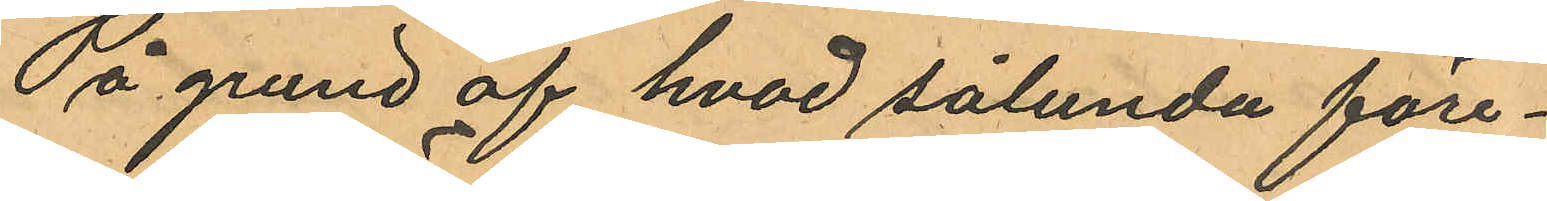På grund af hvad sålunda före¬
